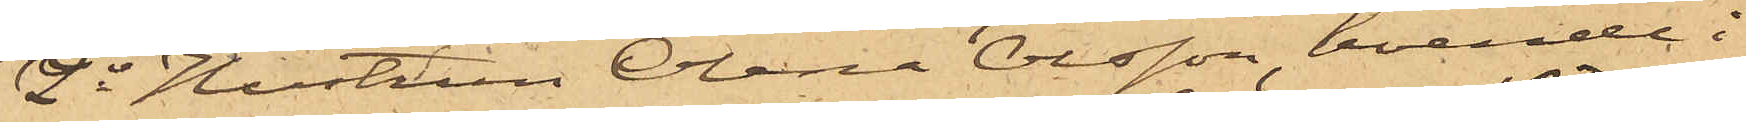2o Hustrun Olena Olsson, boende i
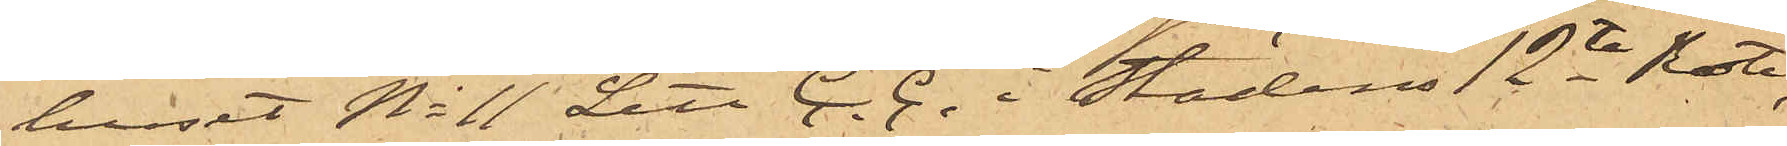huset No 11 Litt C. C. i Stadens 12te Rote,
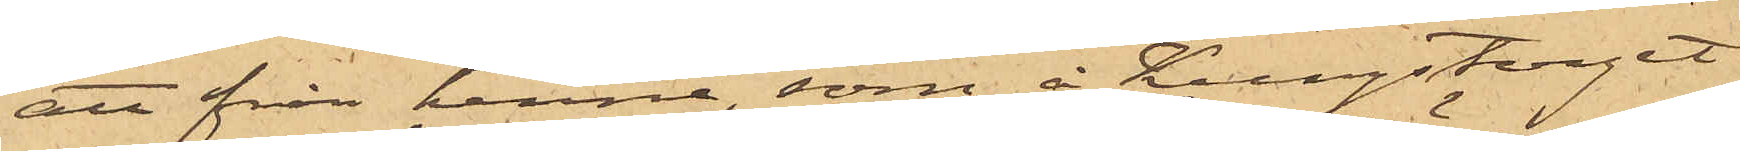att från henne, som å Kungstorget
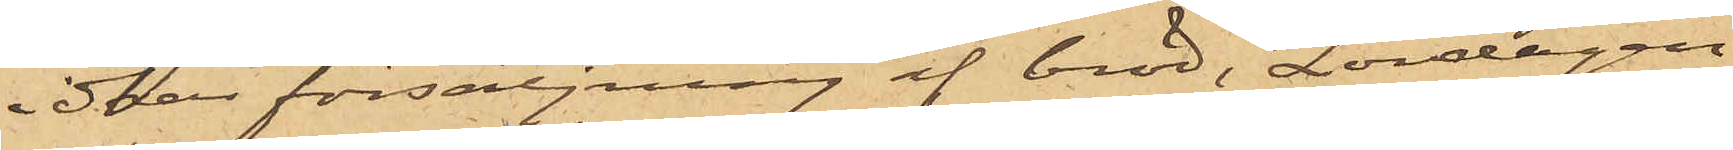har försäljning af bröd, Lördagen
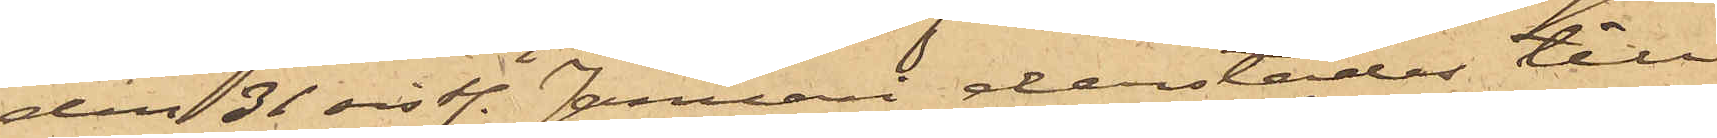den 31 sistl. Januari derstädes till
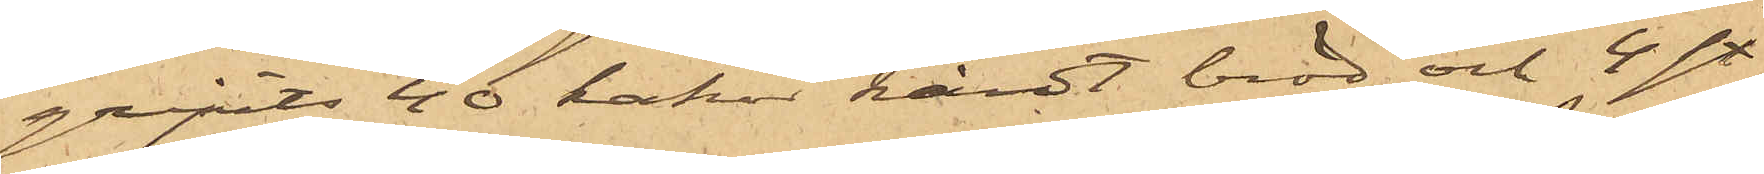gripits 40 kakor hårdt bröd och 4 st.
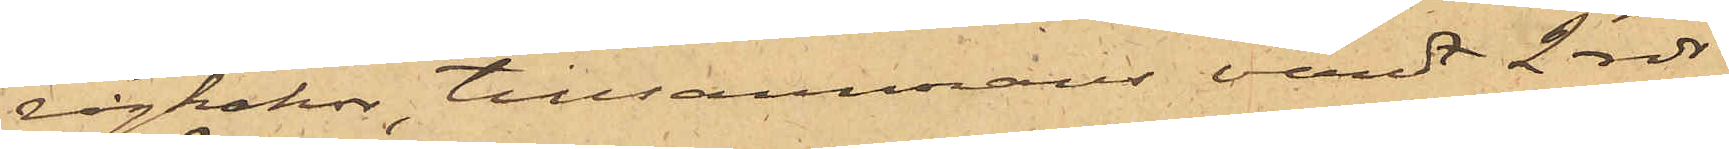rågkakor, tillsammans värdt 2 rdr
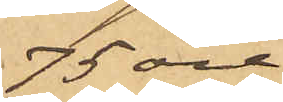75 öre.
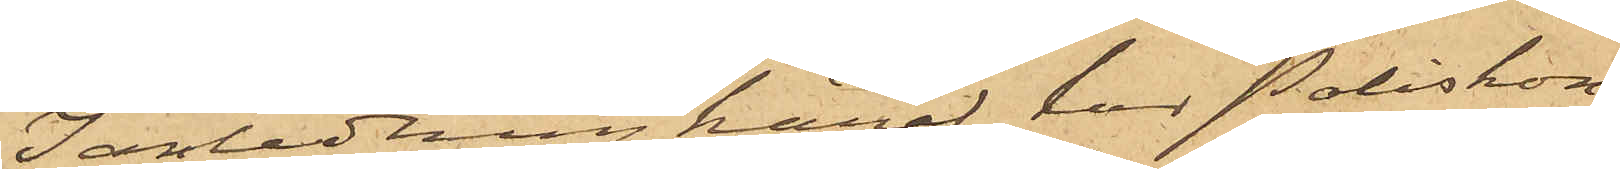I anledning häraf har Poliskon¬
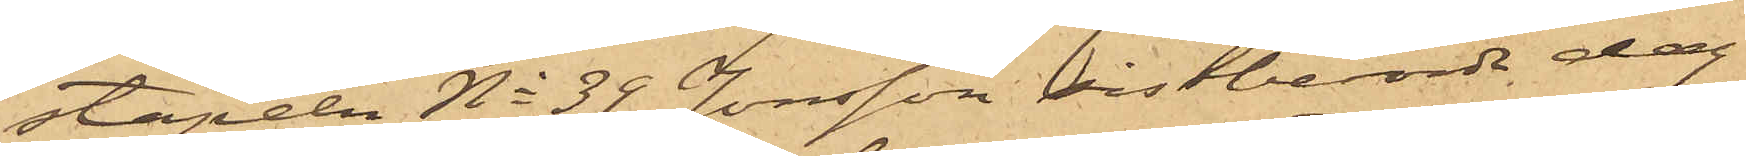stapeln No 39 Jonsson sistberörde dag
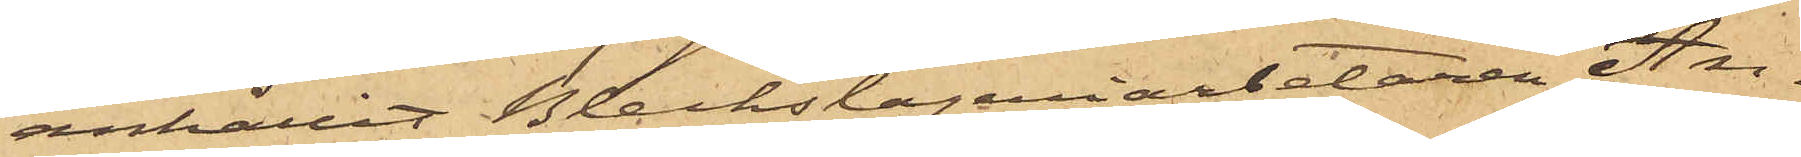anhållit Bleckslageriarbetaren An¬
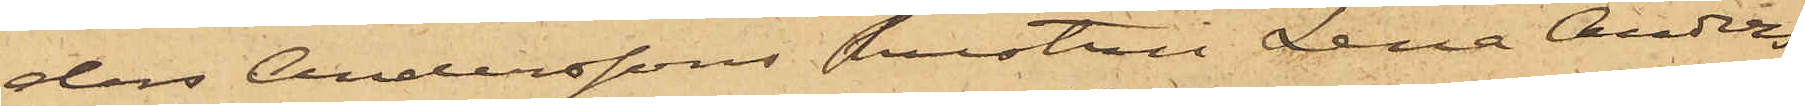ders Anderssons hustru Lena Anders¬
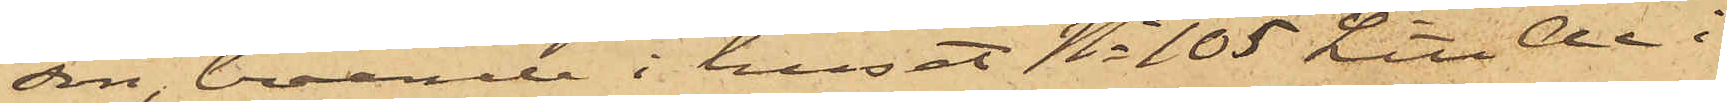son, boende i huset No 105 Litt Aa i
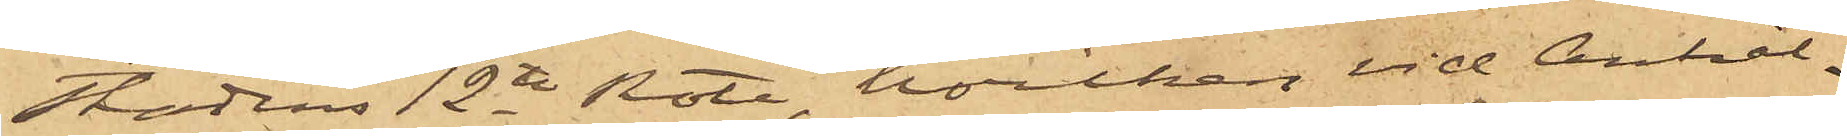Stadens 12te Rote, hvilken vid Anhål¬
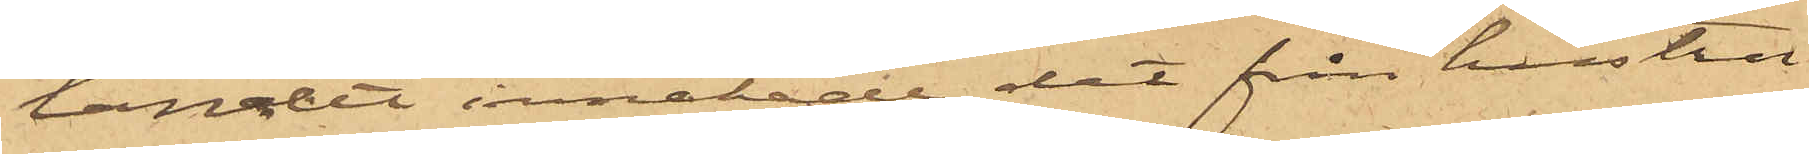landet innehade det från hustru
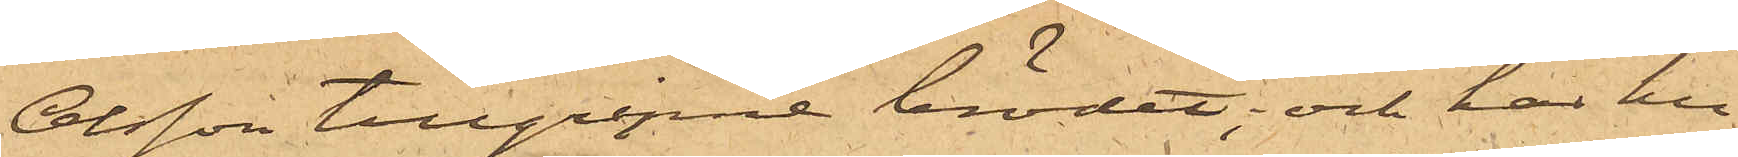Olsson tillgripne brödet; och har hu¬
